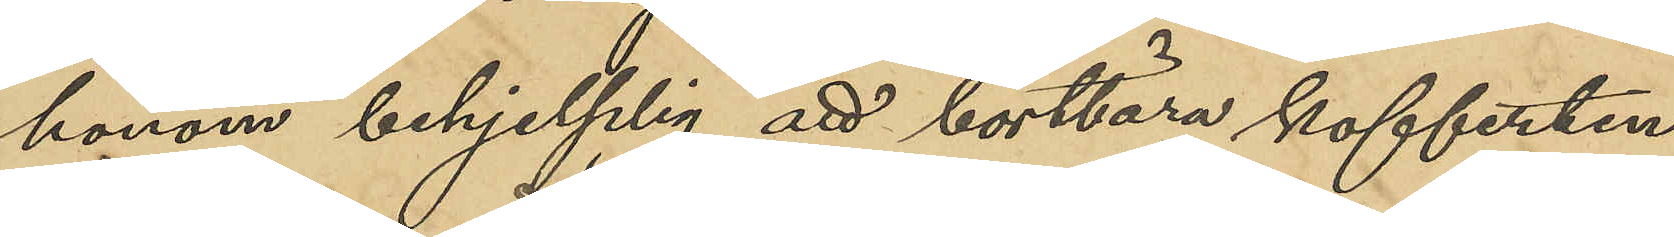honom behjeplig att bortbära kofferten,
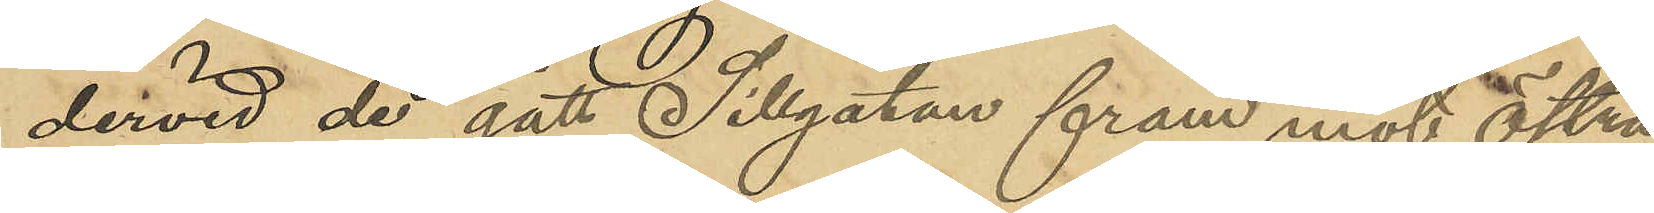dervid de gått Sillgatan fram mot Östra
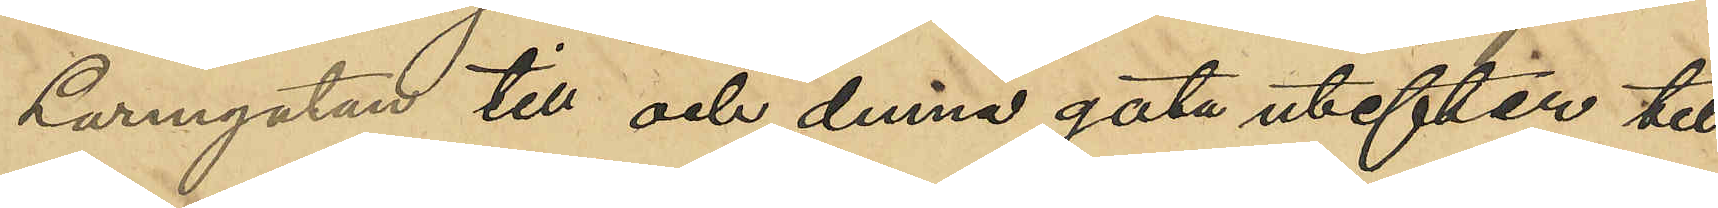Larmgatan till och denna gata utefter till
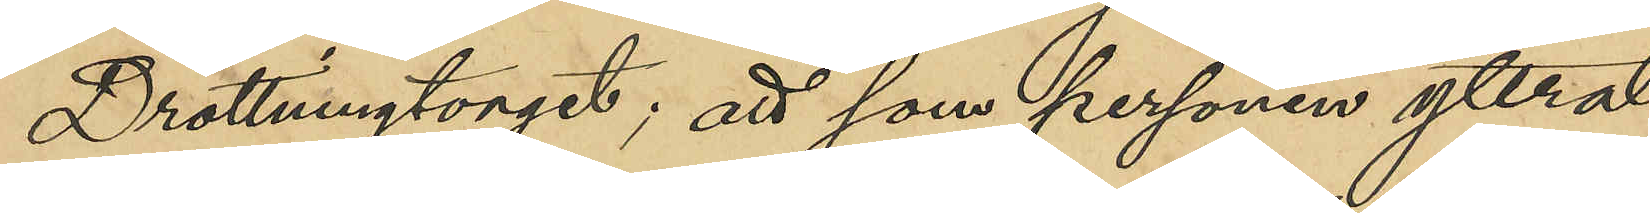Drottningtorget, att som personen yttrat
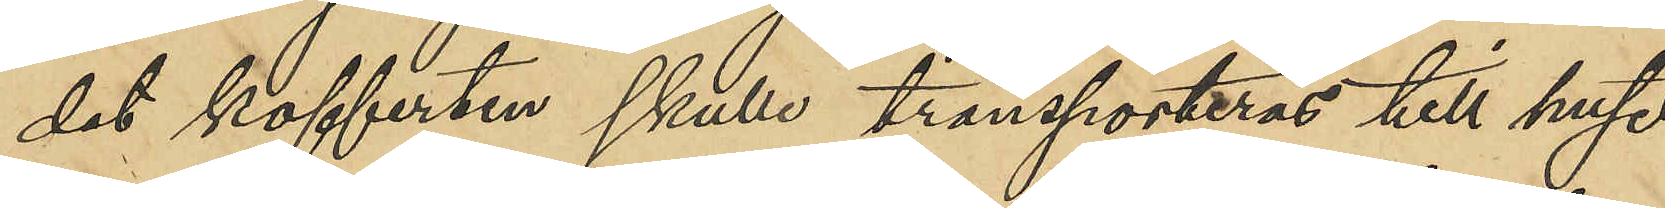det kofferten skulle transporteras till huset
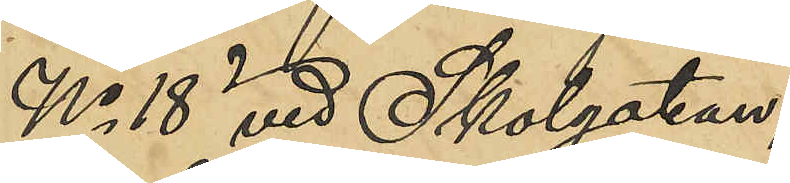No 18 vid Skolgatan;
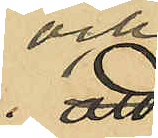och
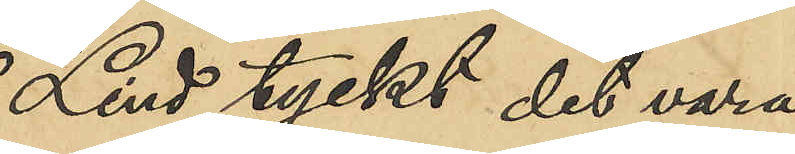Lind tyckt det vara
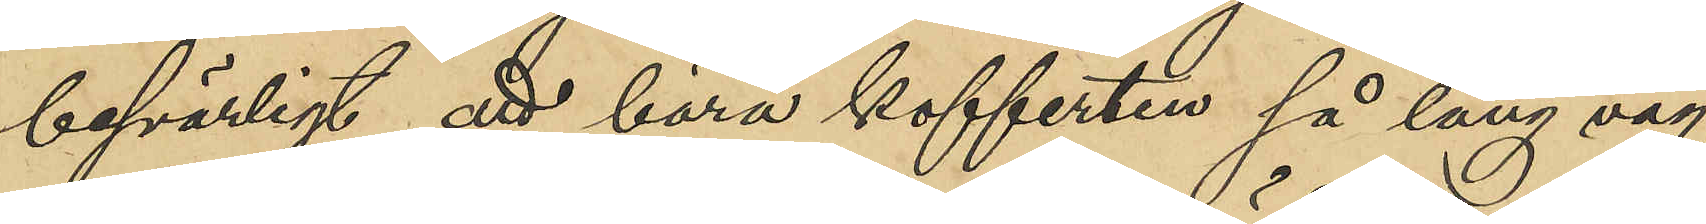besvärligt att bära kofferten så lång väg,
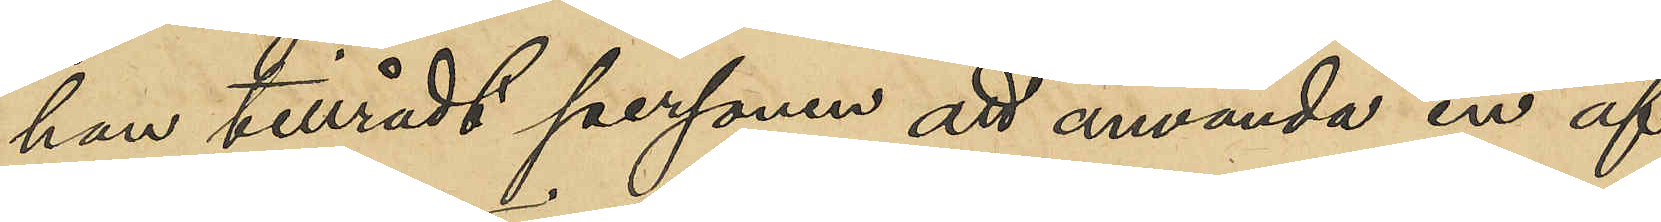han tillrådt personen att använda en af
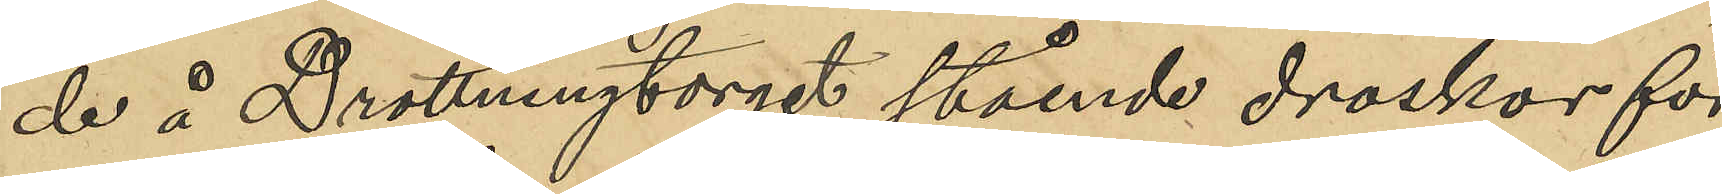de å Drottningtorget stående droskor för
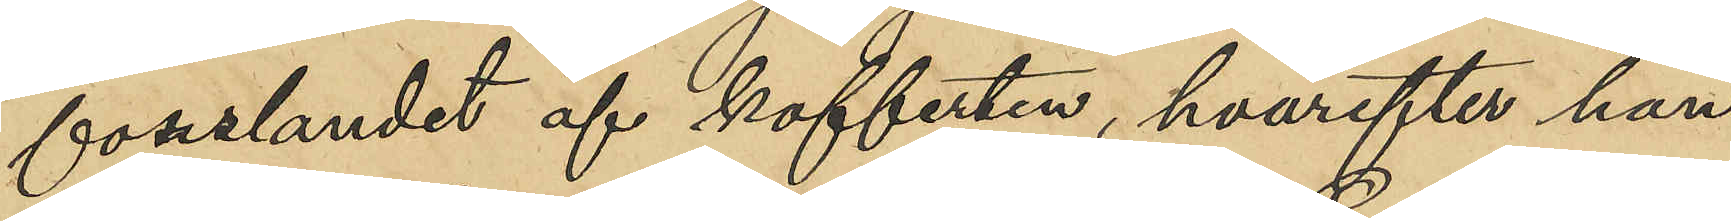forslandet af kofferten, hvarefter han
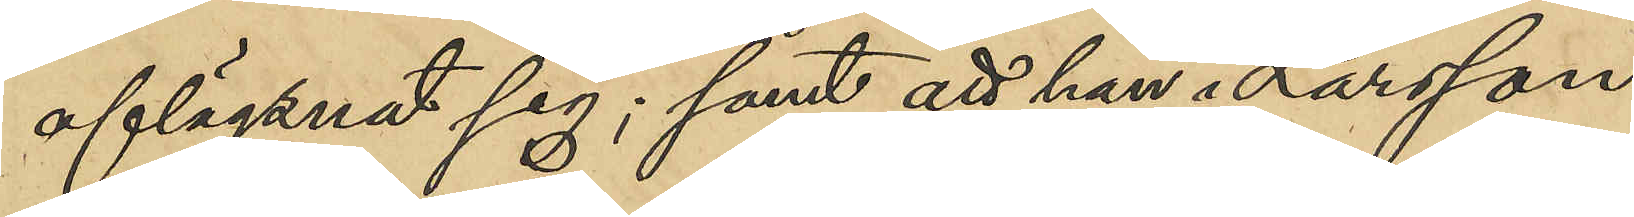aflägsnat sig; samt att han i Larsson
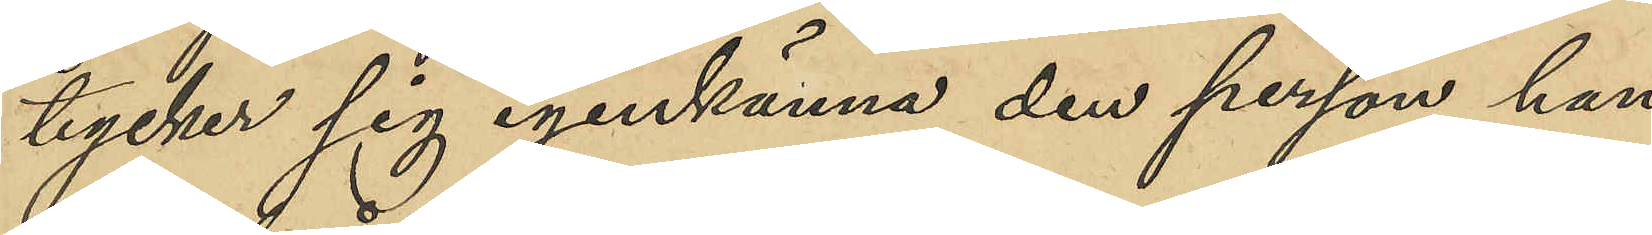tycker sig igenkänna den person han 
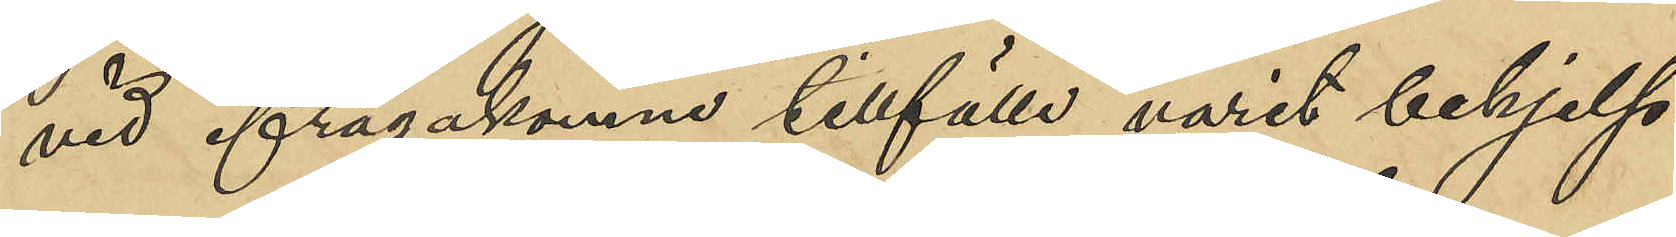vid ifrågakomne tillfälle varit behjelp¬
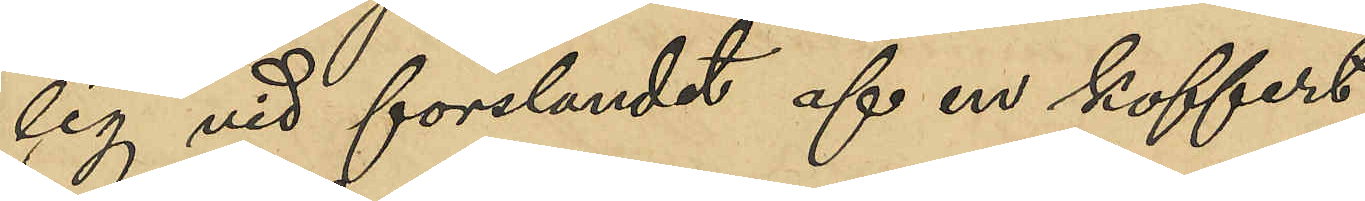lig vid forslandet af en koffert;
